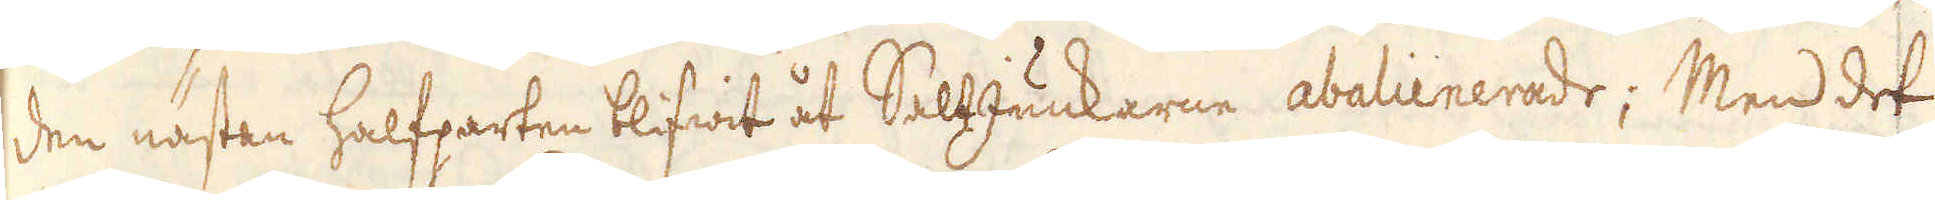den nästan halfparten blifwit åt SaltJunkarne abalienerade; Men det
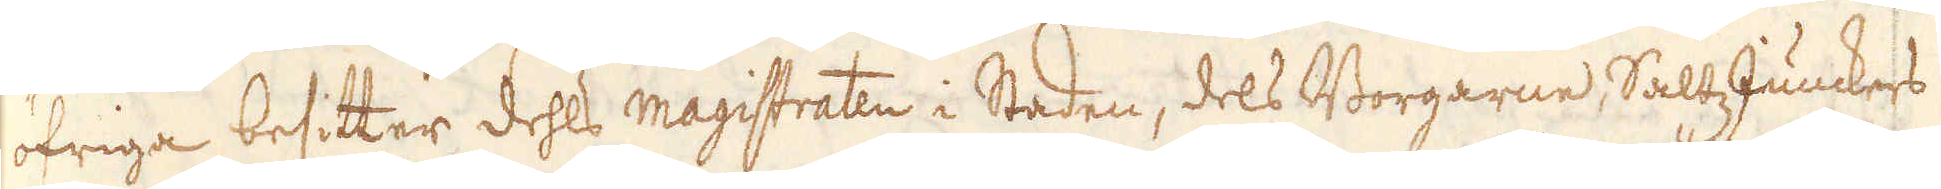öfriga besitter dehls magistraten i Staden, dels Borgarne, SaltzJunckers
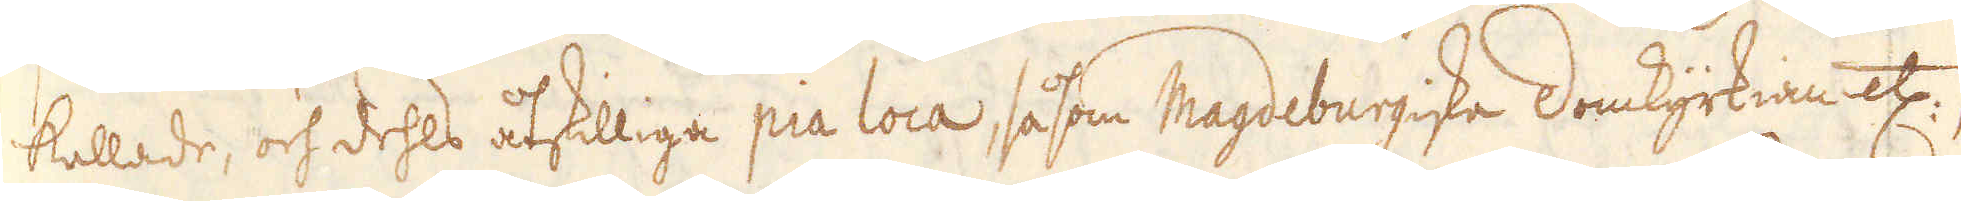kallade, och dehls åtskillige pia loca, såsom Magdeburgiske Domkyrkian etc:,
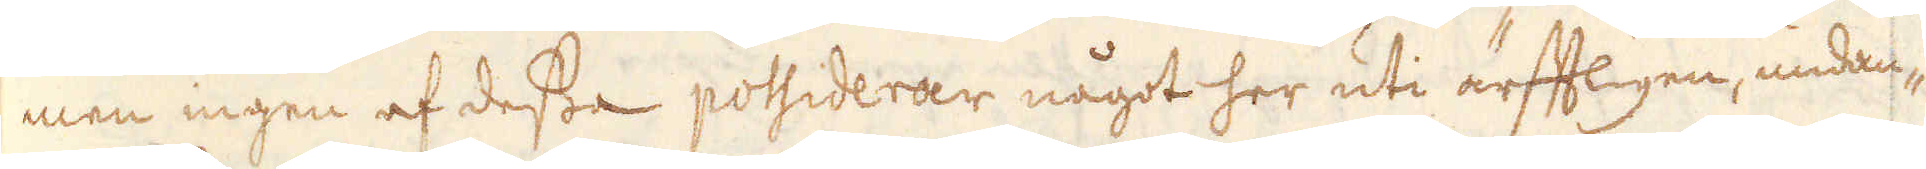men ingen af dessa possiderar något her uti ärfftligen, undan-
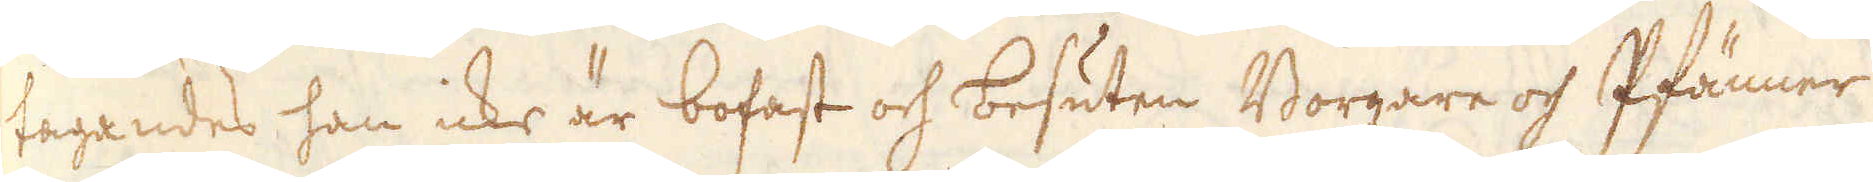tagandes han icke är bofast och besuten Borgare och Pfänner
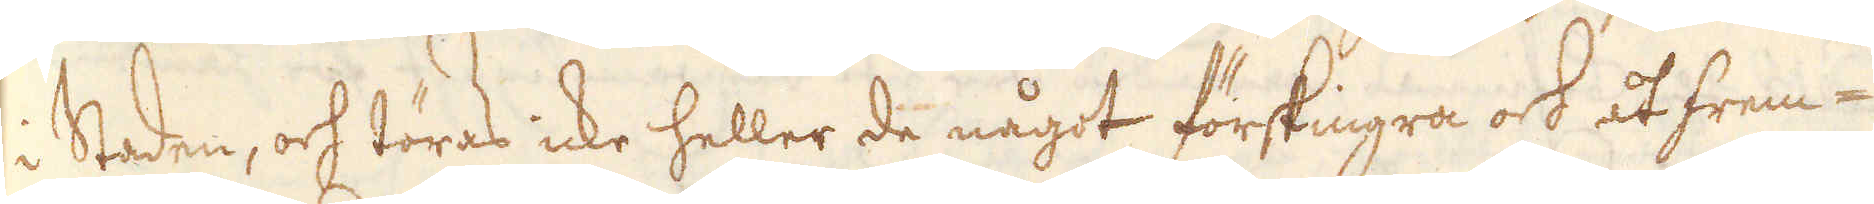i Staden, och töras icke heller de något förskingra och åt frem-
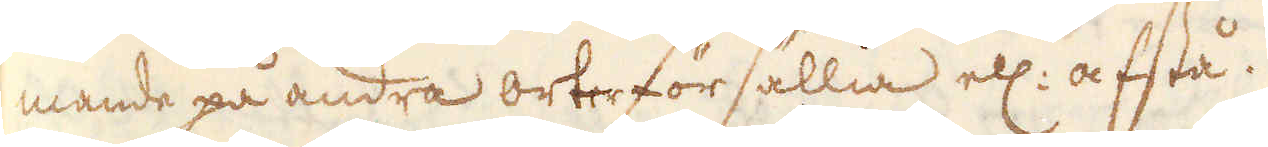mande på andra orter försällia ell: afstå.
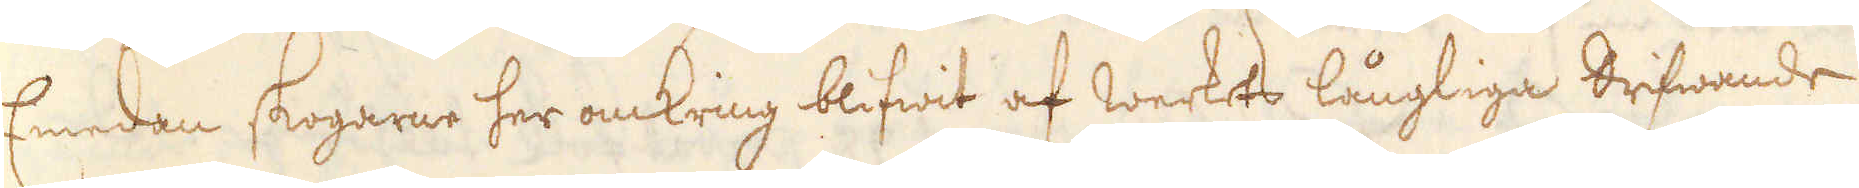Emedan skogarne her omkring blifwit af Werkets långliga drifwande
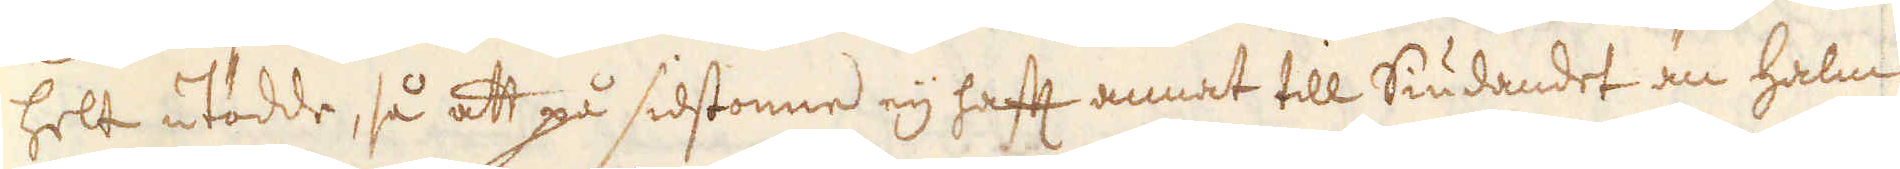helt utödde, så att på sidstonne eij haft annat till Siudandet än halm
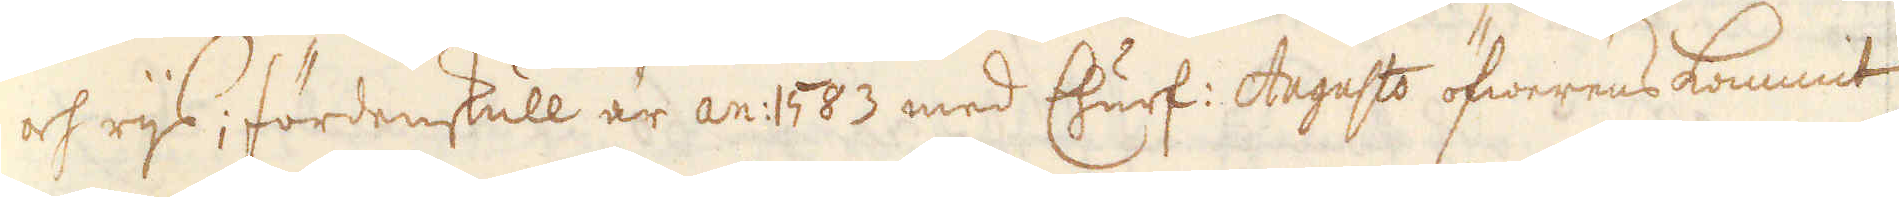och rijs; fördenskull är an: 1583 med Churf: Augusts öfwerens kommit
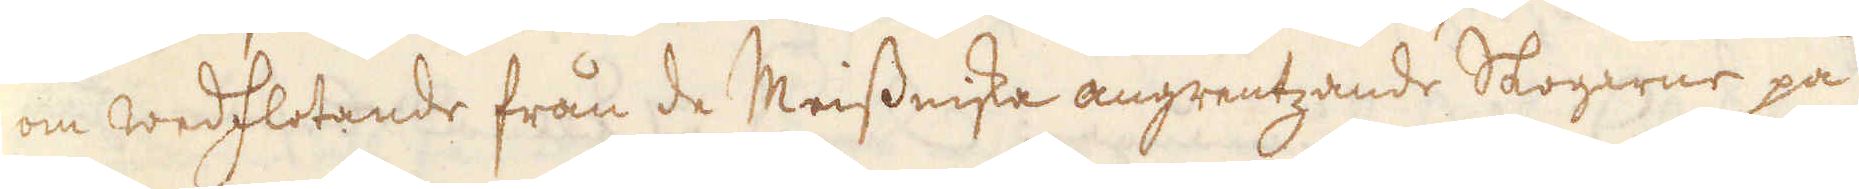om wedflotande från de Meissniska angrentzande Skogarne på
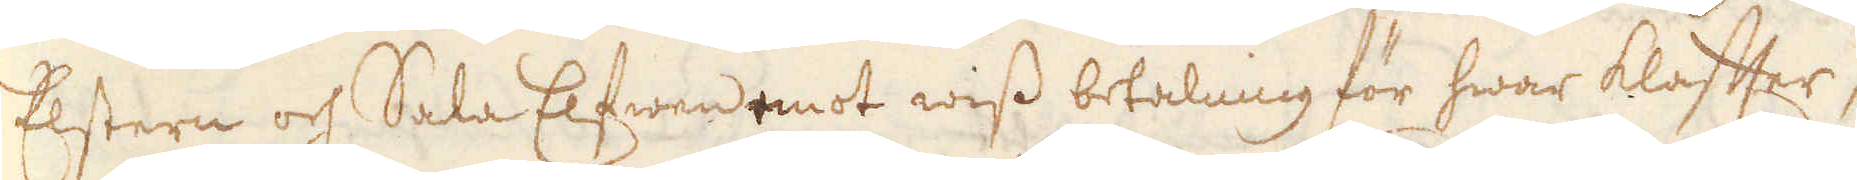Elstern och Sala Elfwen emot wiss betalning för hwar klaffter,
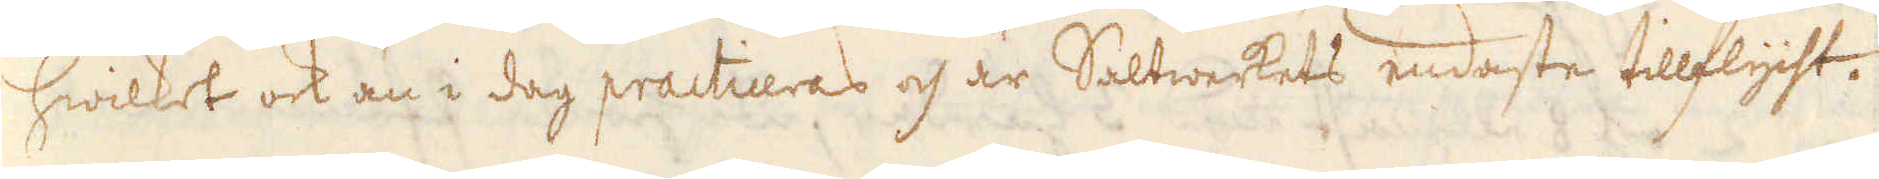hwilket ock än i dag practiceras och är Saltwerkets endaste tillflycht.
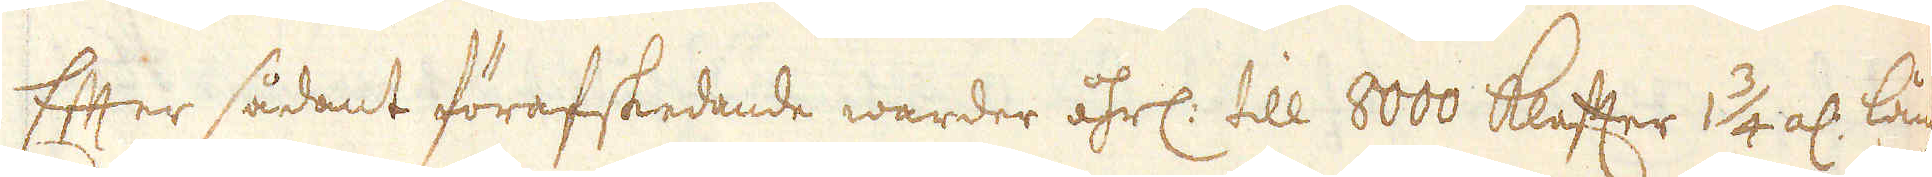Efter sådant förafskedande warder åhrl: till 8000 Klafter 1 3/4 al: långa
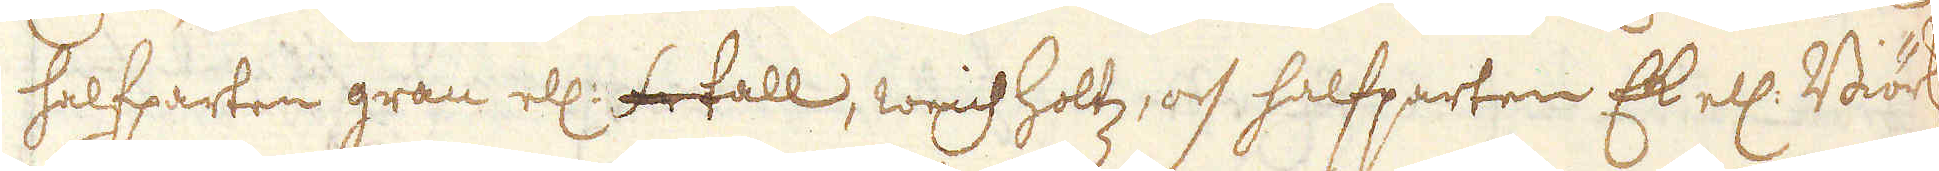halfparten gran ell: futall, weichholtz, och halfparten Ek ell: Biörk,
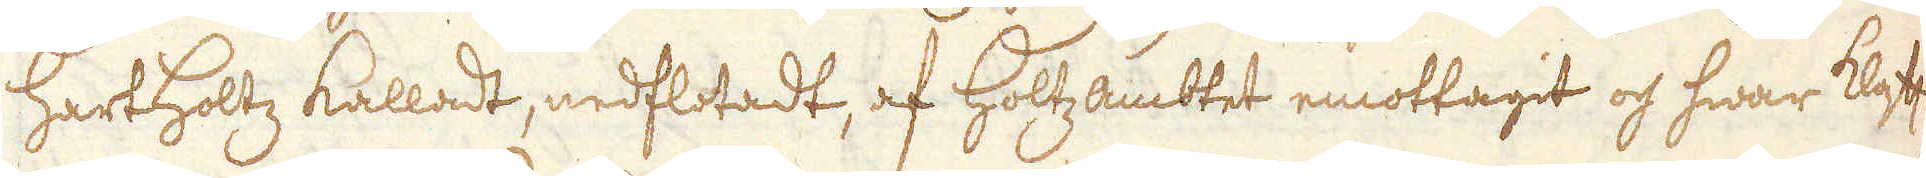hartholtz kalladt, nedflotadt, af Holtzambtet emottagit och hwar klaft,
